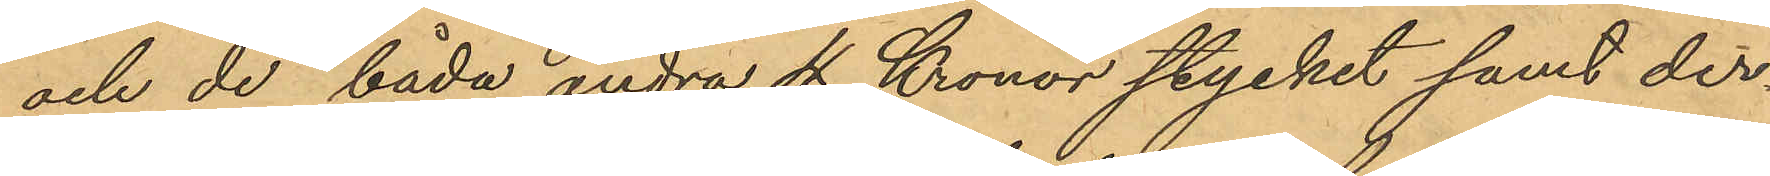och de båda andra 4 Kronor stycket samt der¬
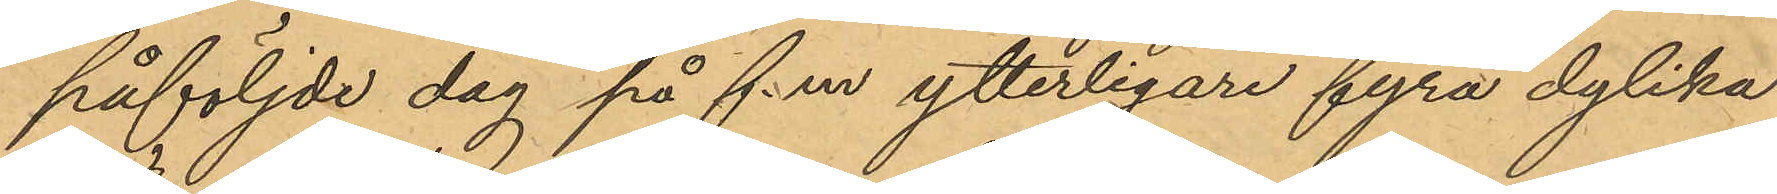påföljde dag på f.m ytterligare fyra dylika
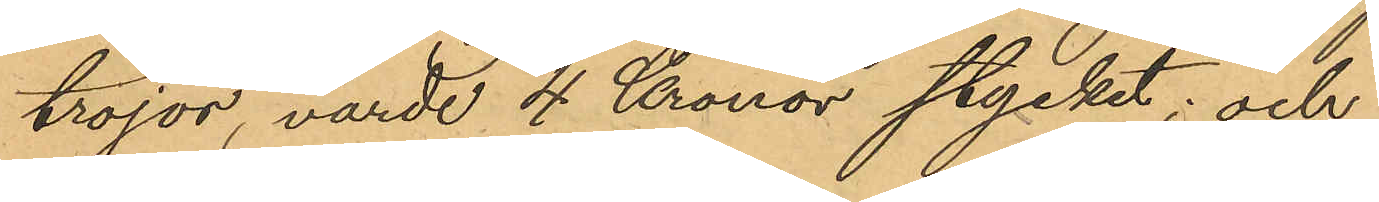tröjor, värde 4 Kronor stycket; och
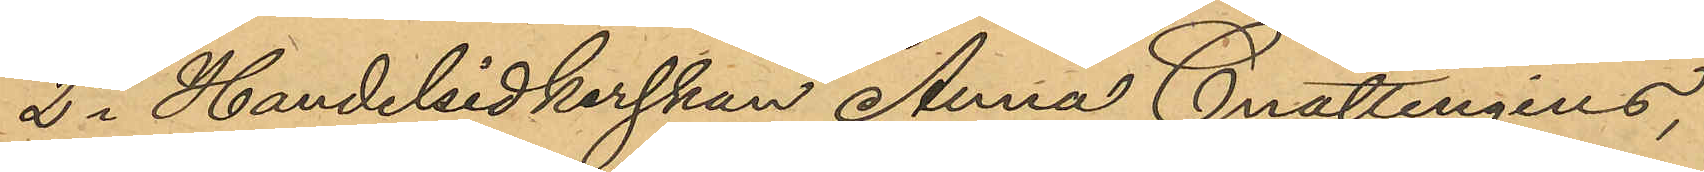2o Handelsidkerskan Anna Cnattingius,
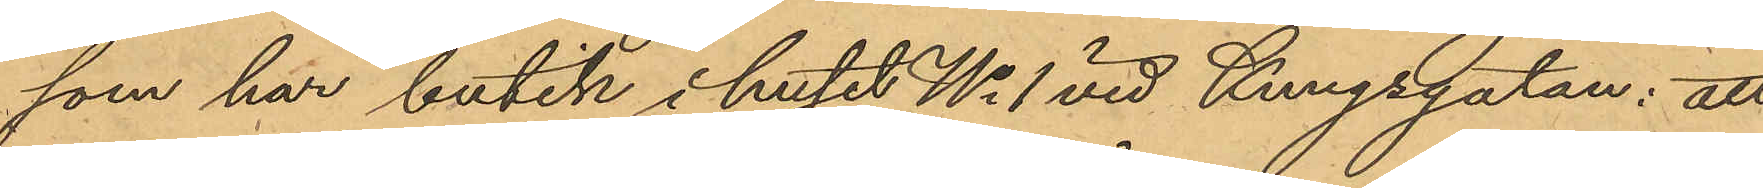som har butik i huset No 1 vid Kungsgatan: att
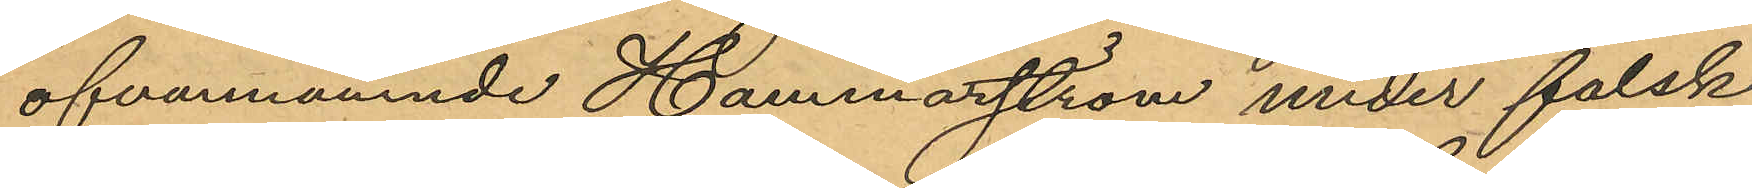ofvannämnde Hammarström under falsk
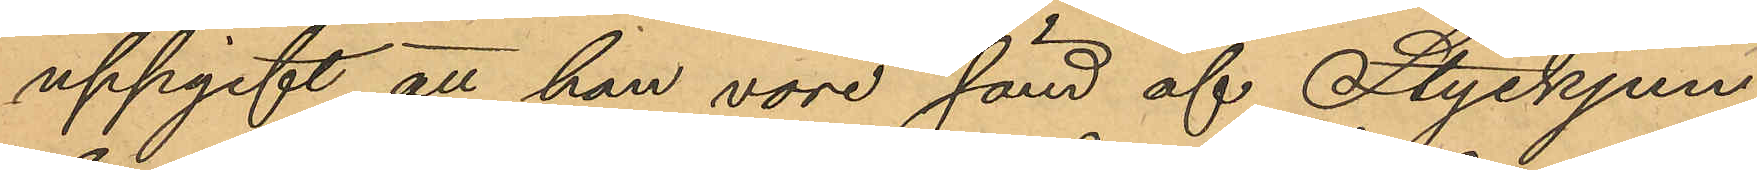uppgift att han vore sänd af Styckjun¬
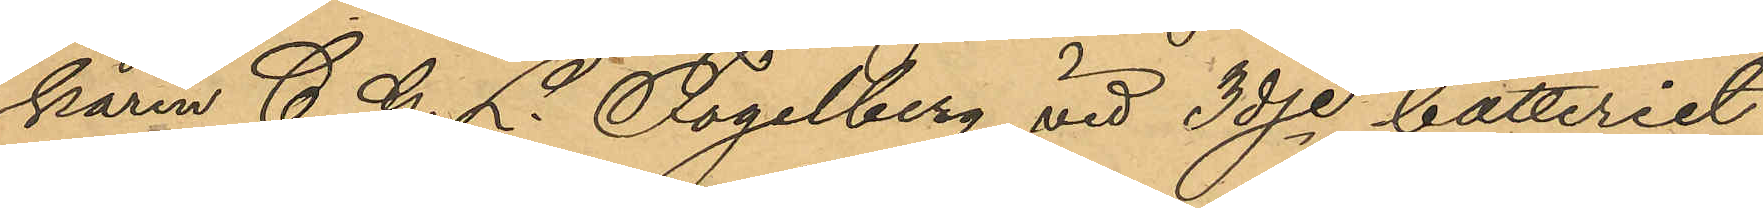karen C. G. L. Fogelberg vid 3dje batteriet
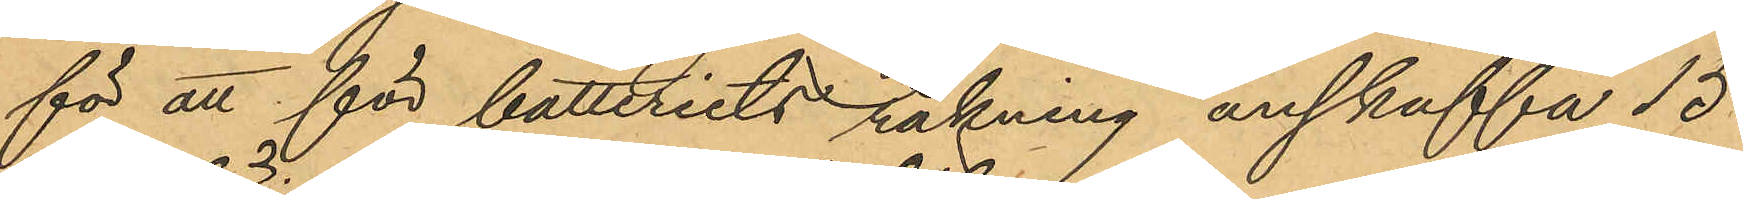för att för batteriets räkning anskaffa 15
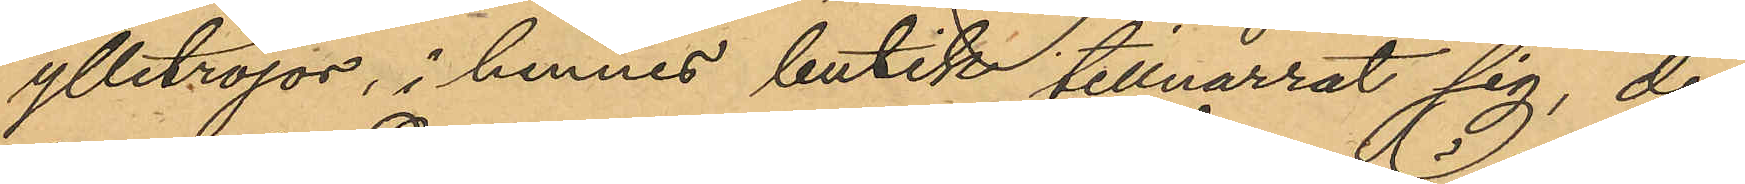ylletröjor, i hennes butik tillnarrat sig, den
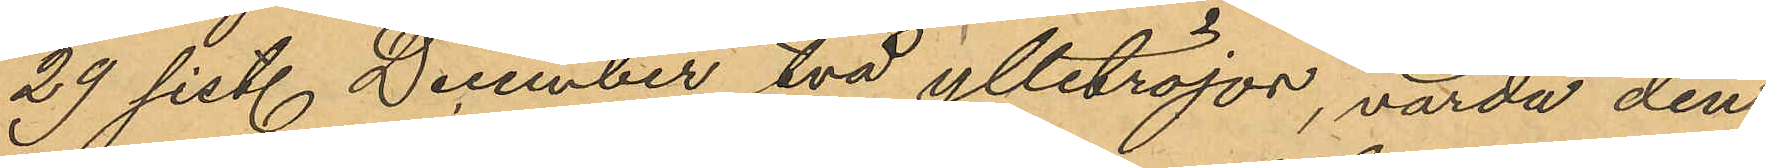29 sist. December två ylletröjor, värda den
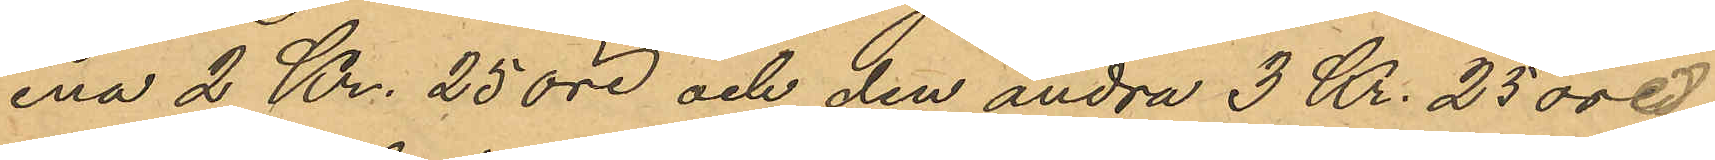ena 2 Kr. 25 öre och den andra 3 Kr. 25 öre,
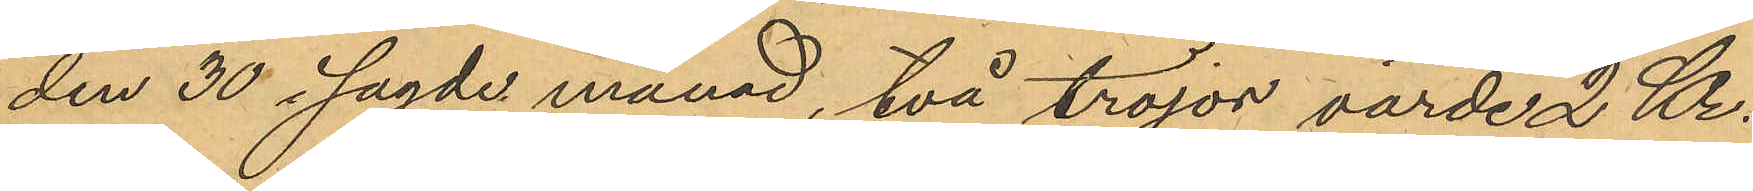den 30 i sagde månad, två tröjor värde 2 Kr.
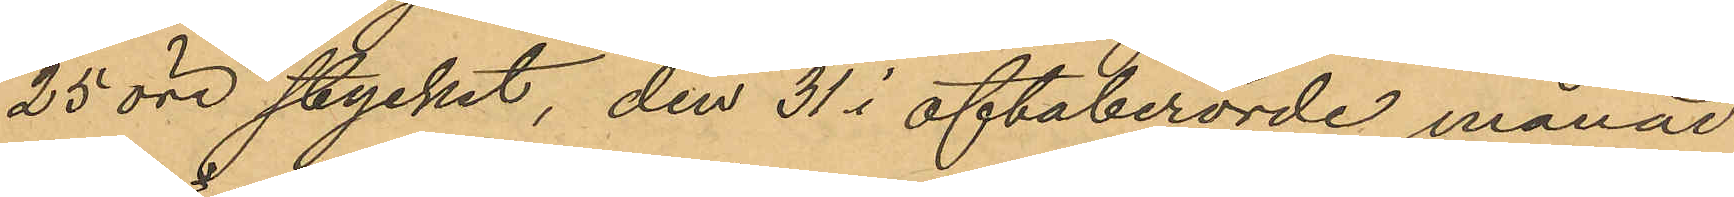25 öre stycket, den 31 i oftaberörde månad
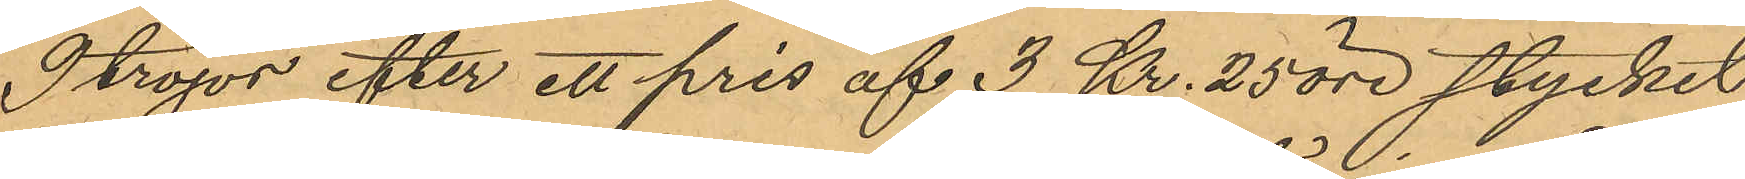9 tröjor efter ett pris af 3 Kr. 25 öre stycket
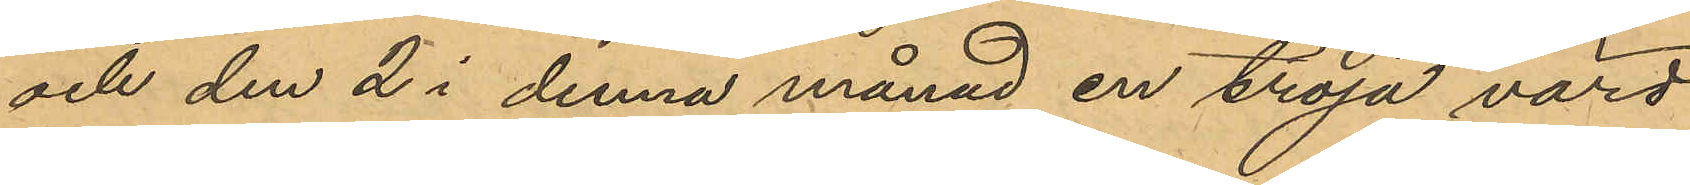och den 2 i denna månad en tröja värd
